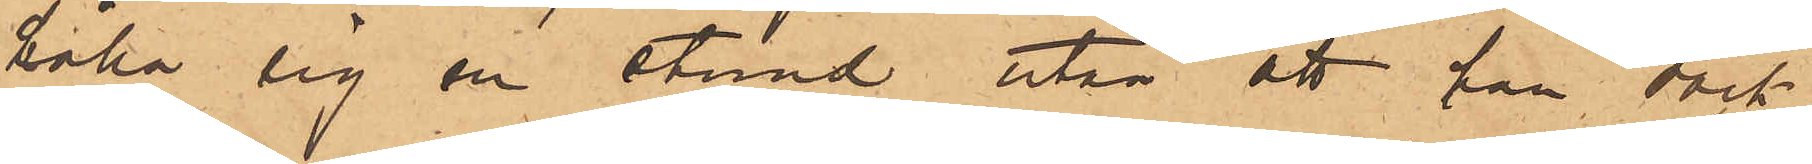hålla sig en stund utan att han dock
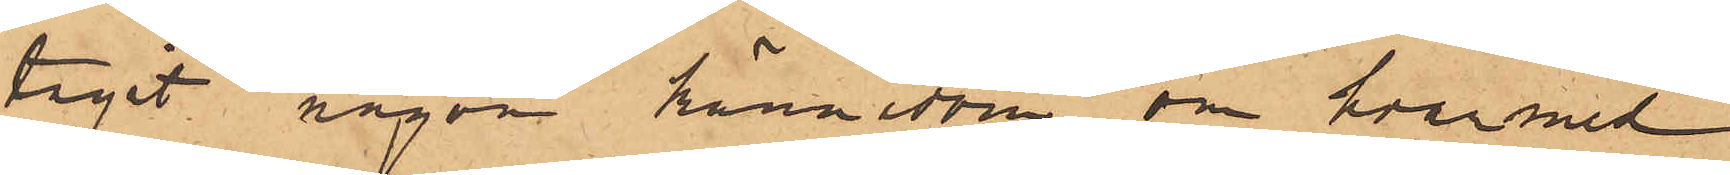tagit någon kännedom om hvarmed
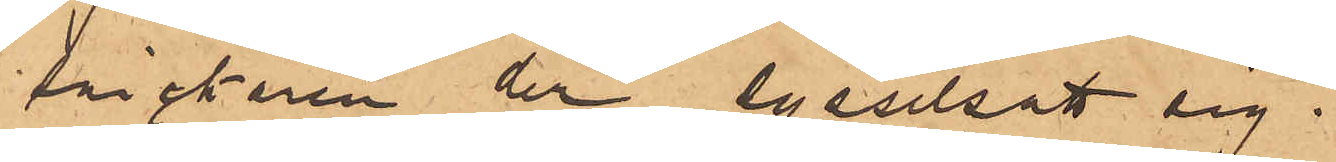snickaren der sysselsatt sig.
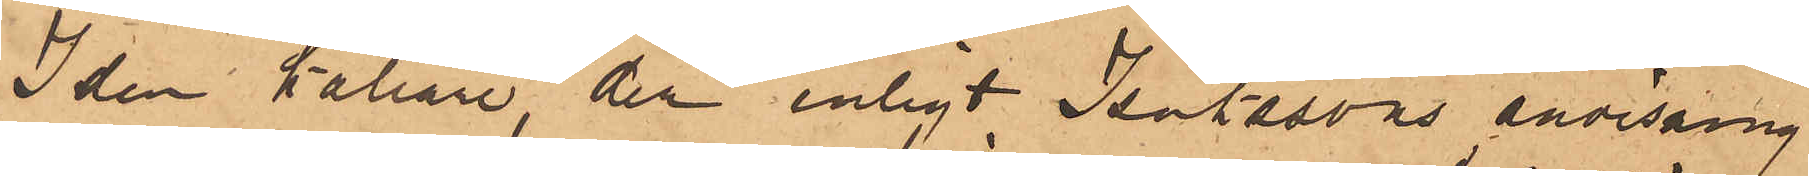I den källare, der enligt Isakssons anvisning
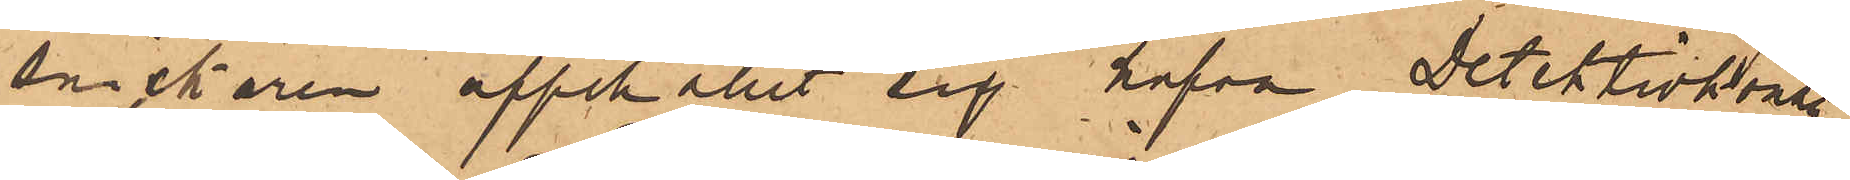snickaren uppehållit sig hafva Detektivkonstl
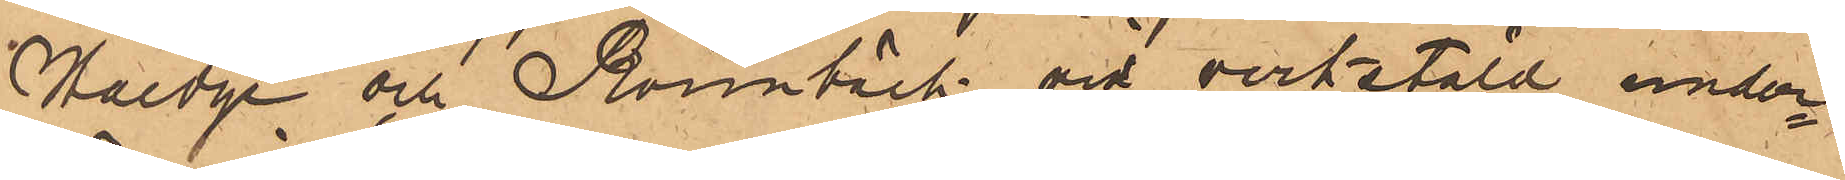Haedge och Rönnbäck vid verkstäld under¬
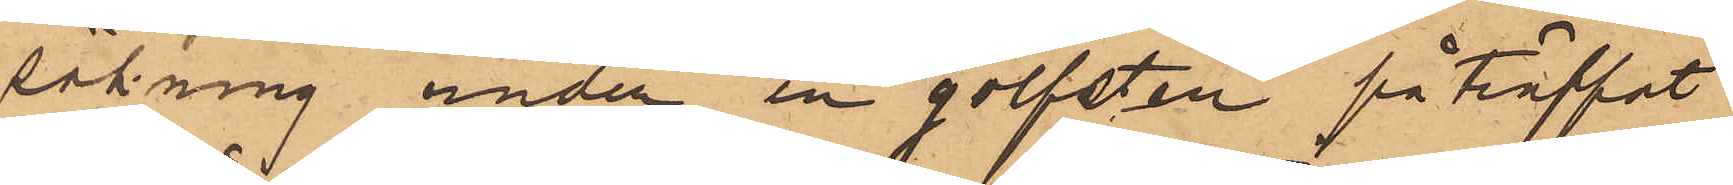sökning under en golfsten påträffat
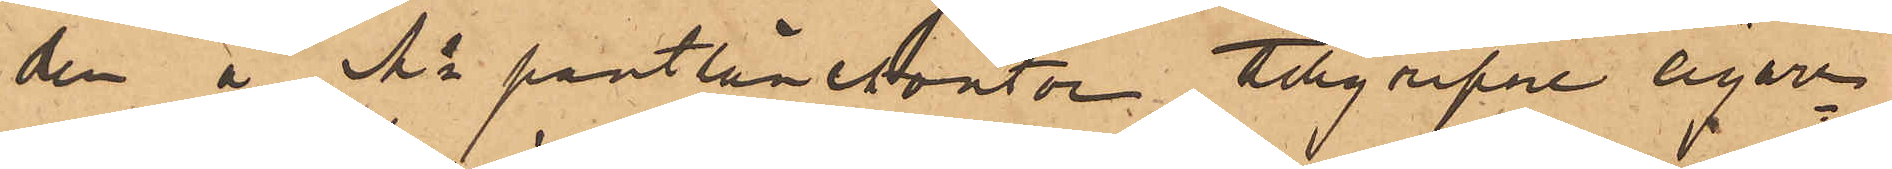den å Ms pantlånekontor tillgripne cigarr¬
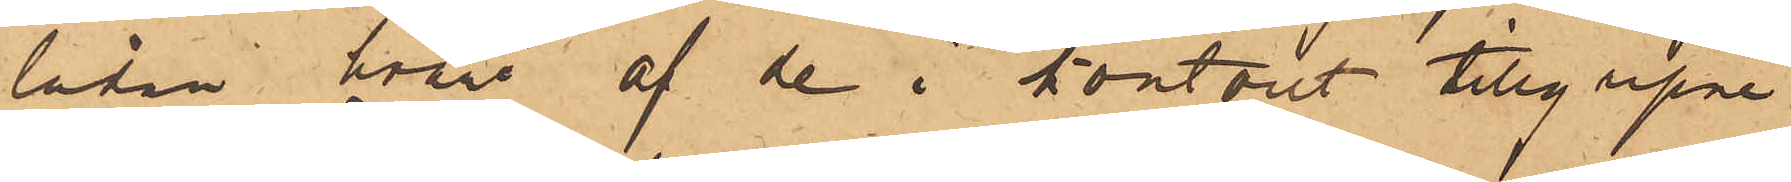lådan, hvari af de i kontoret tillgripne
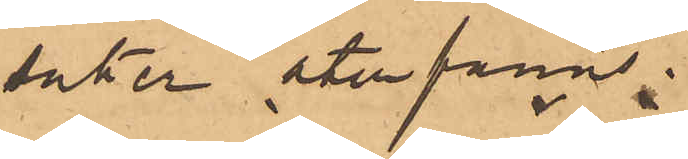saker återfanns:
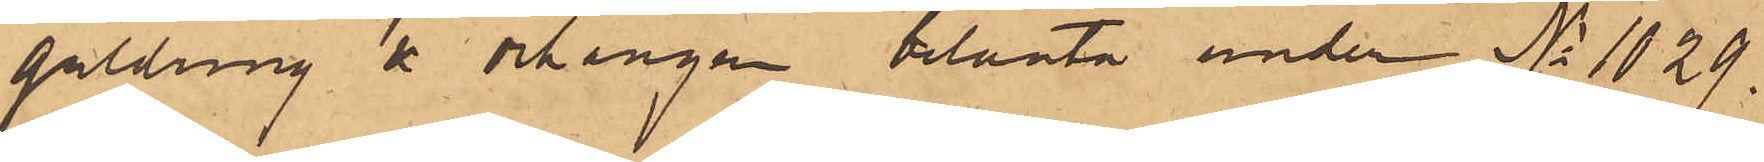guldring & örhängen belånta under No 1029.
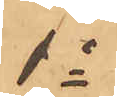do
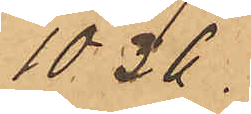1036.
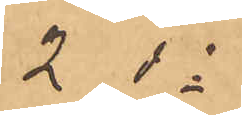2 do
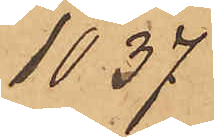1037
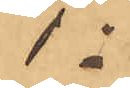do
